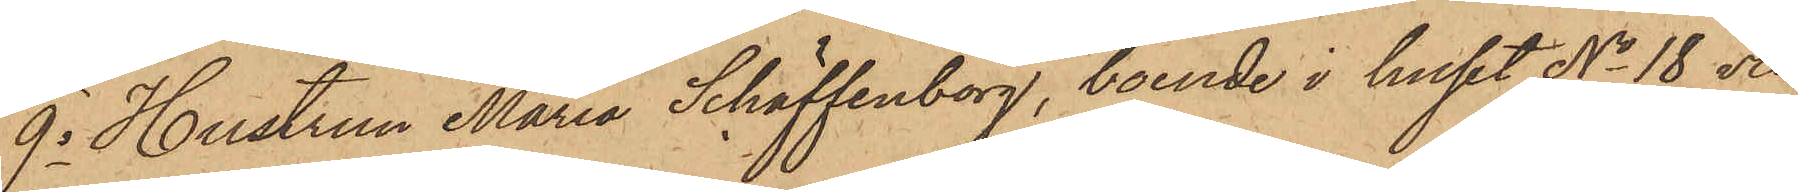9o Hustrun Maria Schäffenborg, boende i huset No 18 vid
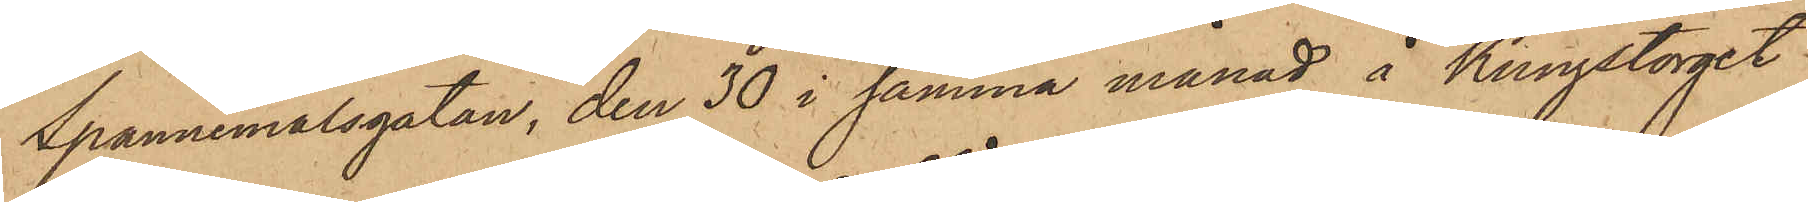Spannemålsgatan, den 30 i samma månad å Kungstorget
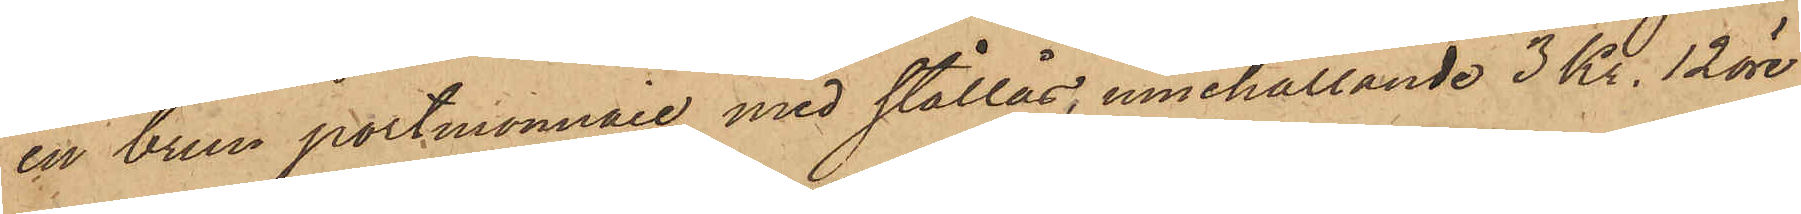en brun portmonnaie med stållås, innehållande 3 Kr. 12 öre,
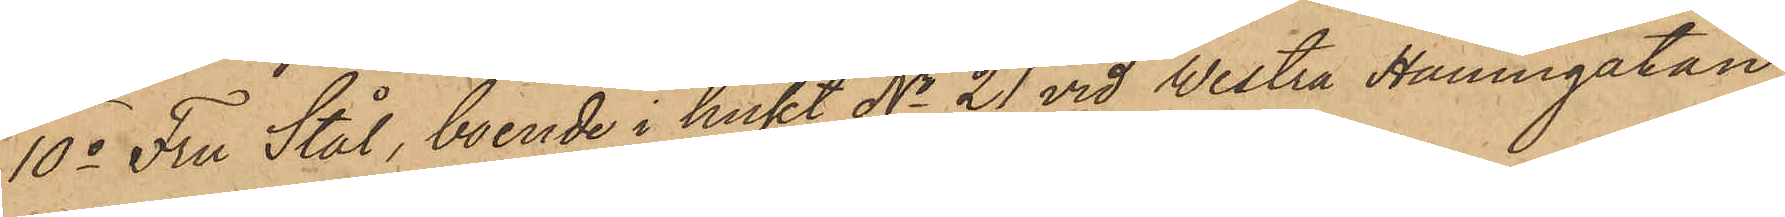10o Fru Stål, boende i huset No 21 vid Vestra Hamngatan,
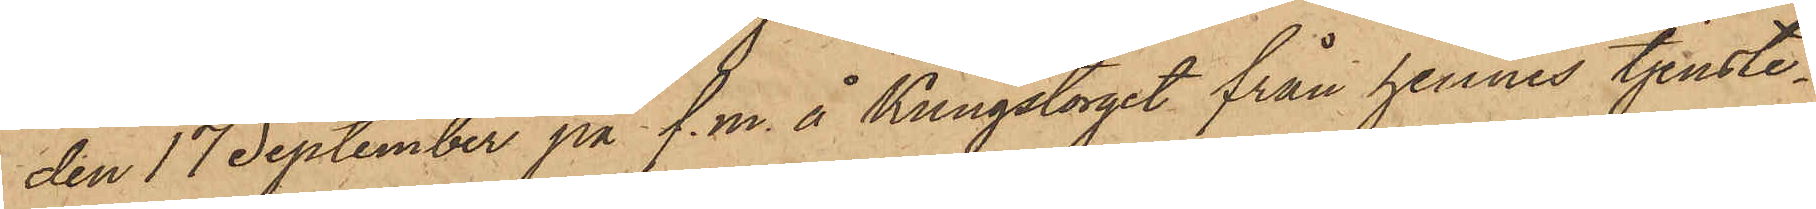den 17 September på f. m. å Kungstorget från hennes tjenste¬
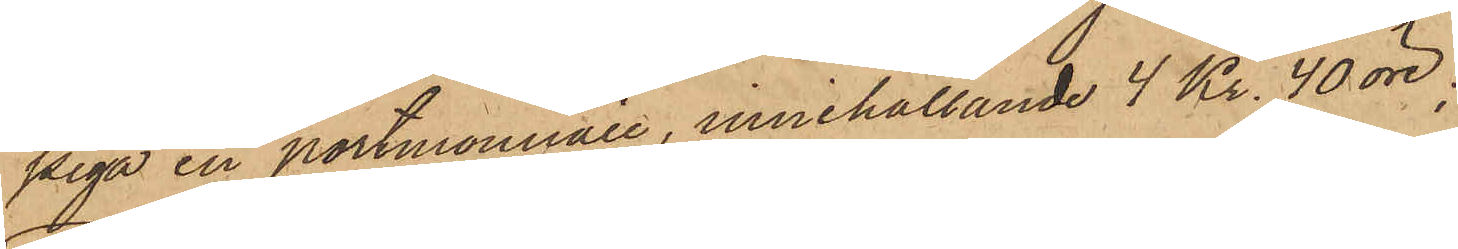piga en portmonnaie, innehållande 4 Kr. 40 öre.
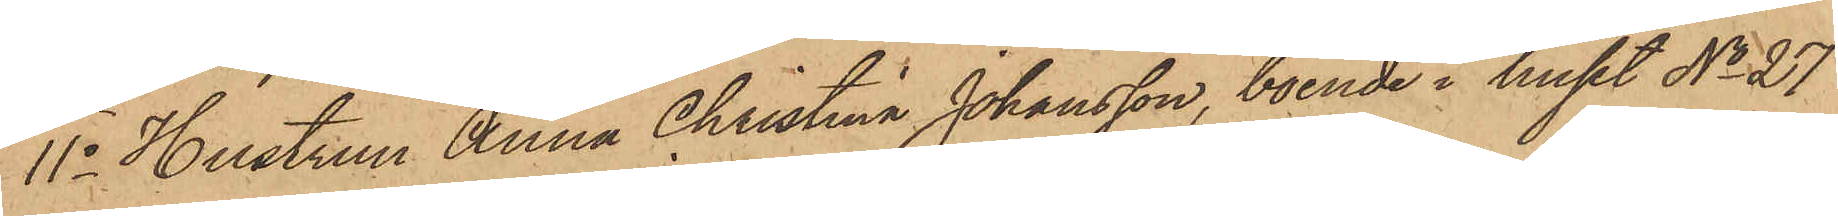11o Hustrun Anna Christina Johansson, boende i huset No 27
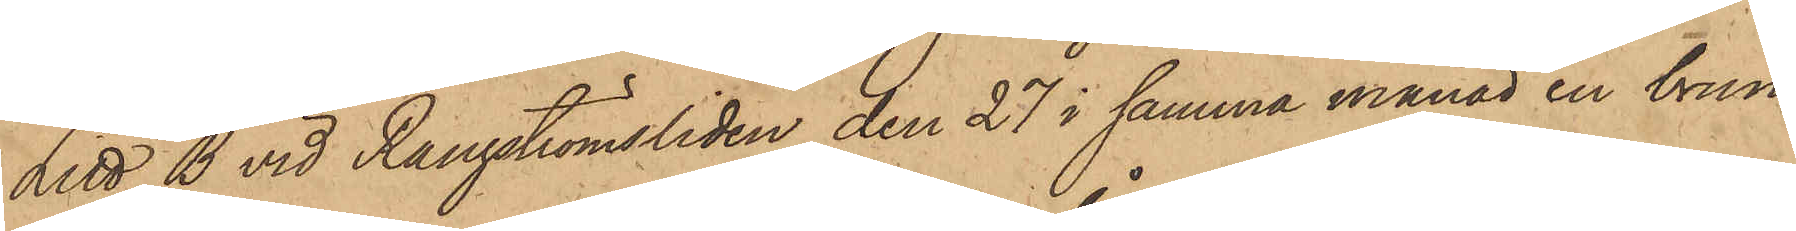Litt. B vid Rangströmsliden den 27 i samma månad en brun
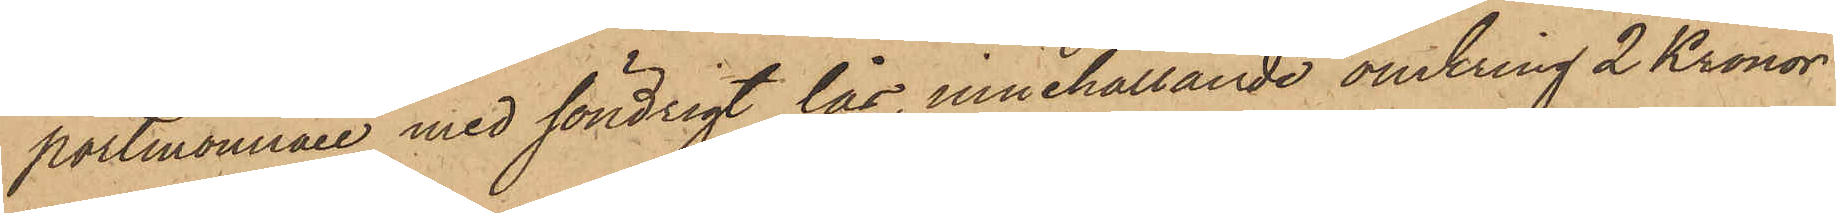portmonnaie med söndrigt lås, innehållande omkring 2 Kronor
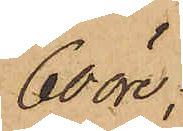60 öre;
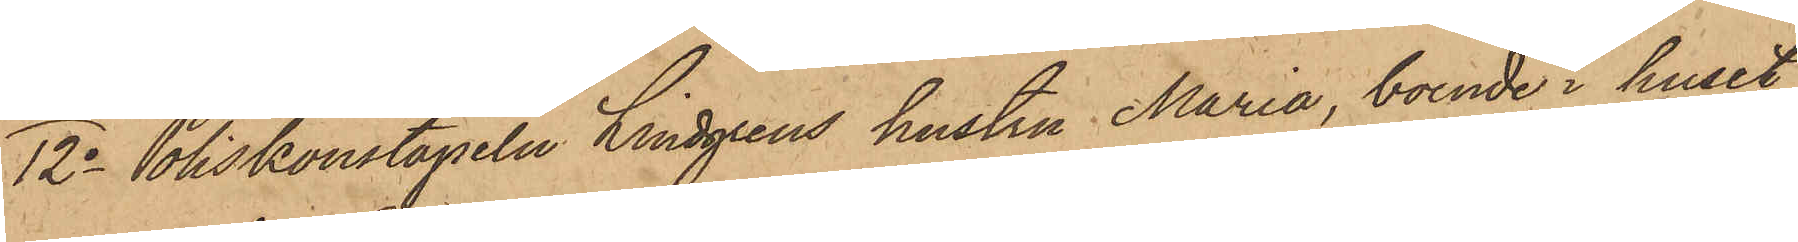12o Poliskonstapeln Lindgrens hustru Maria, boende i huset
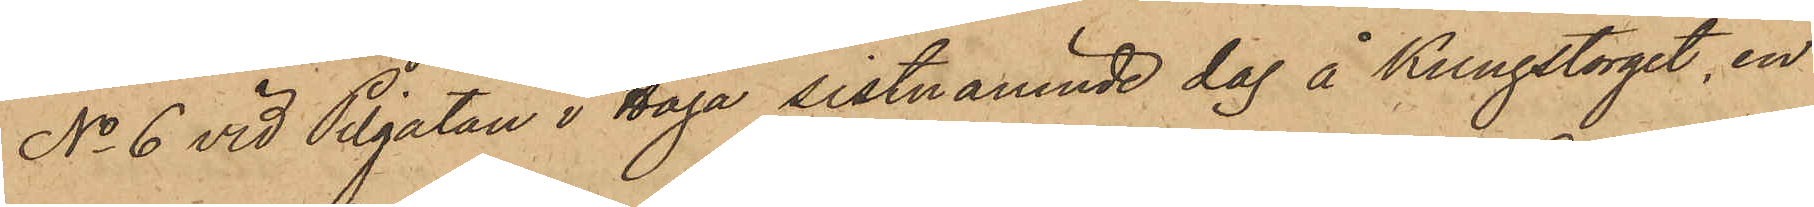No 6 vid Pilgatan i Haga sistnämnde dag å Kungstorget, en
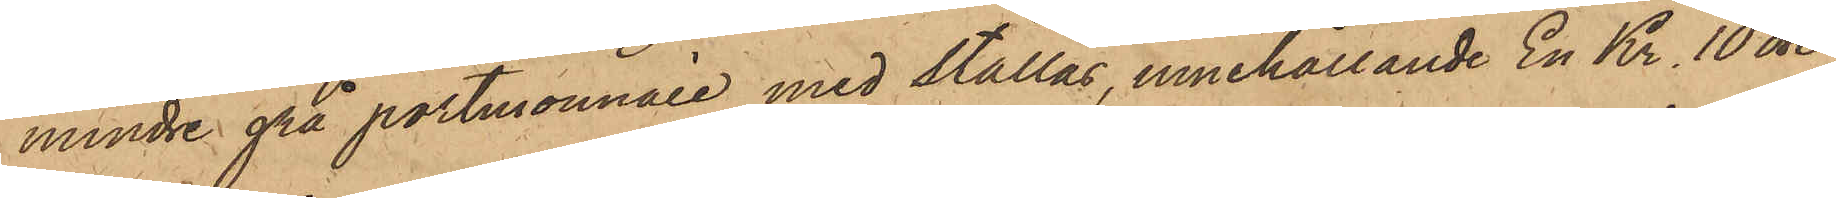mindre grå portmonnaie med stållås, innehållande En Kr. 10 öre;
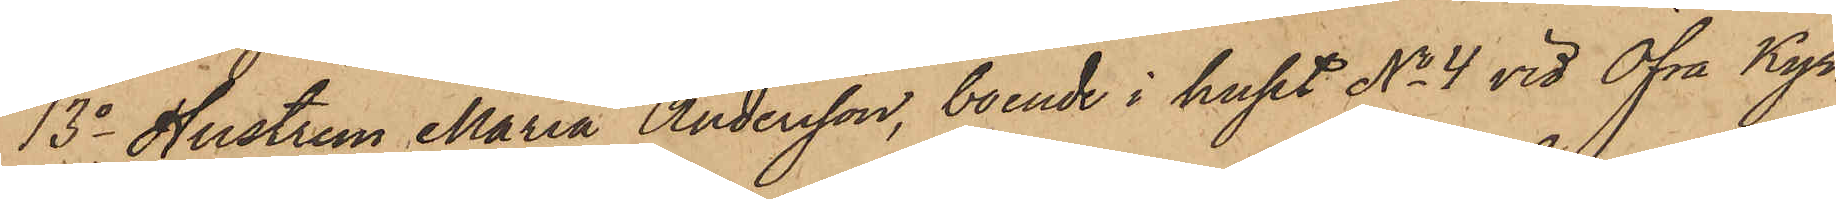13o Hustrun Maria Andersson, boende i huset No 4 vid Öfra Kyr¬
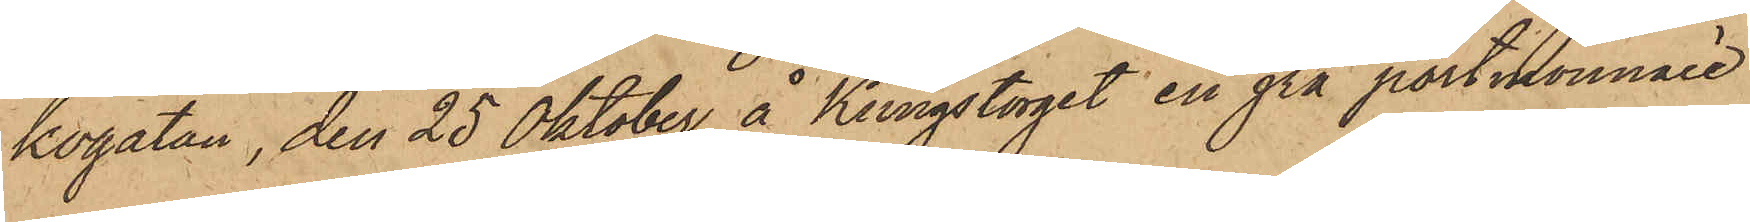kogatan, den 25 Oktober å Kungstorget en grå portmonnaie
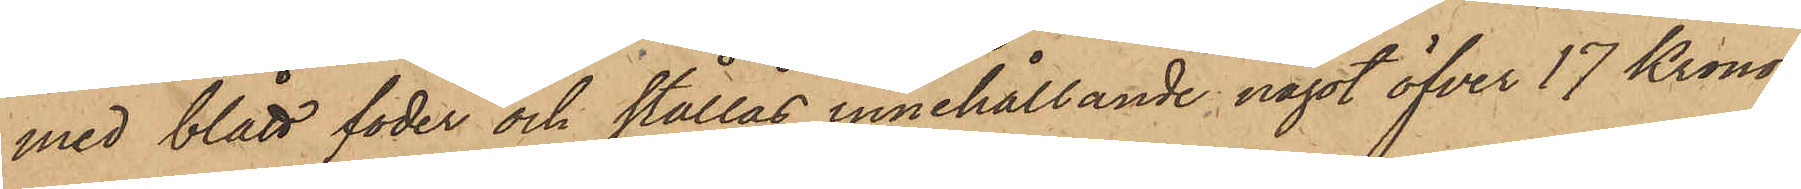med blått foder och stållås innehållande något öfver 17 Kronor;
